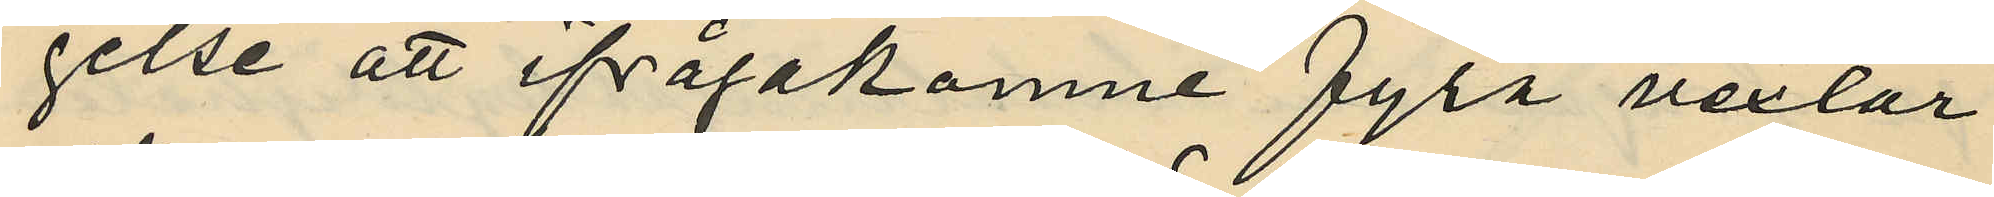gelse att ifrågakomne fyra vexlar
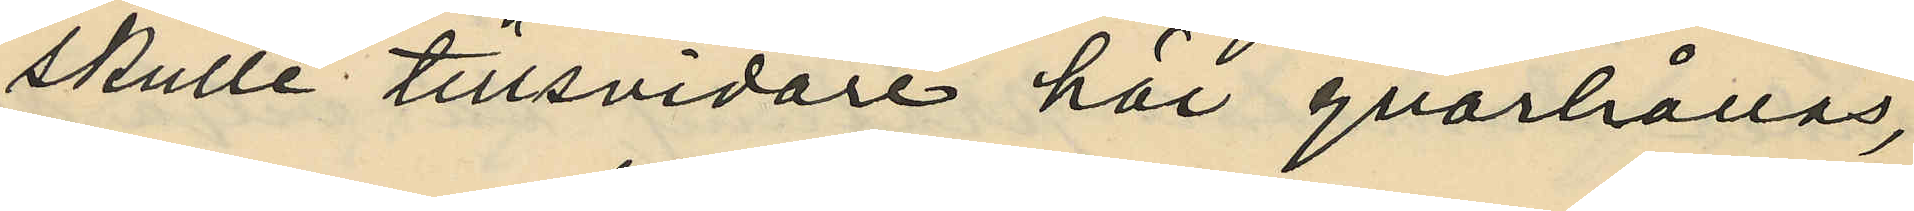skulle tillsvidare här qvarhållas,
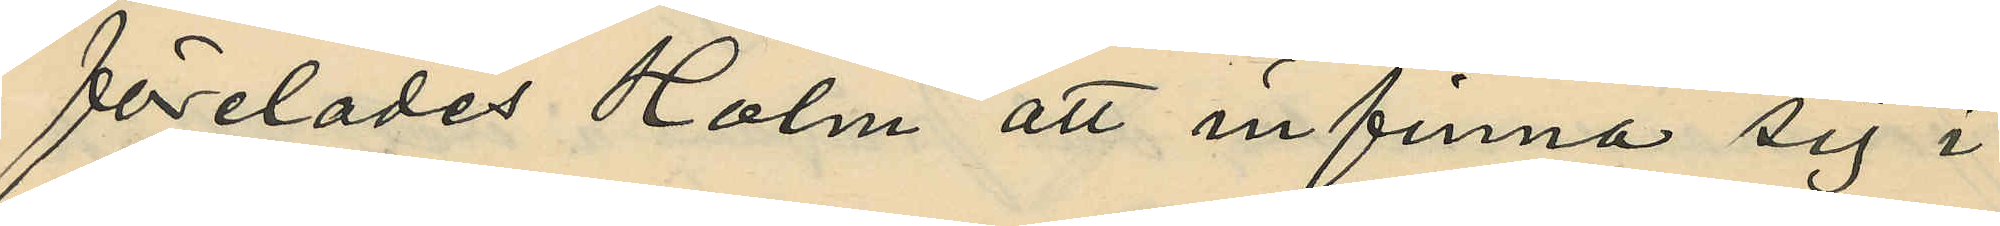förelades Holm att infinna sig i
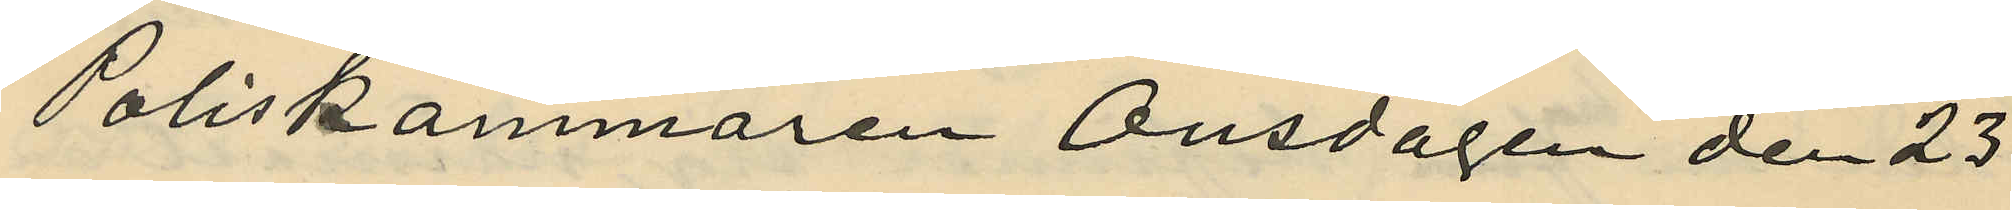Poliskammaren Onsdagen den 23
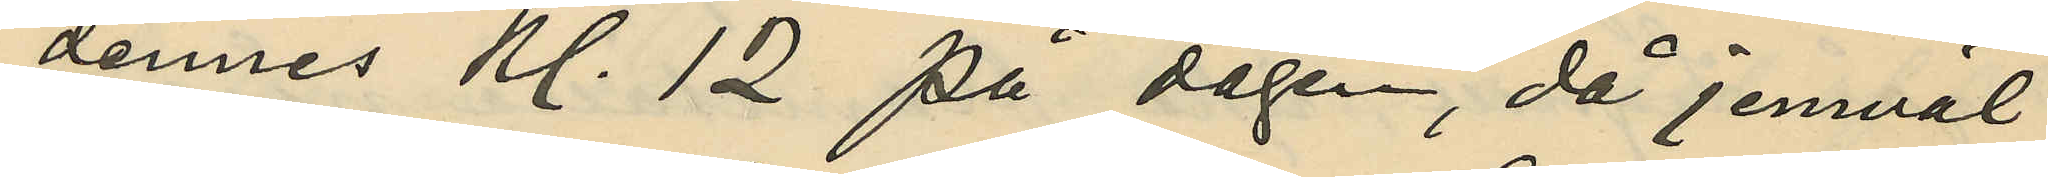dennes kl. 12 på dagen, då jemväl
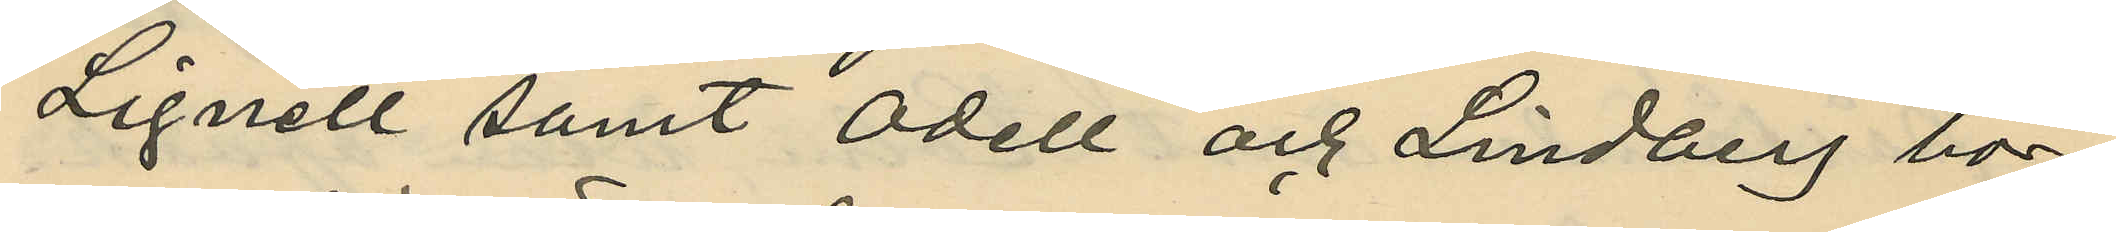Lignell samt Odell och Lindberg bor¬
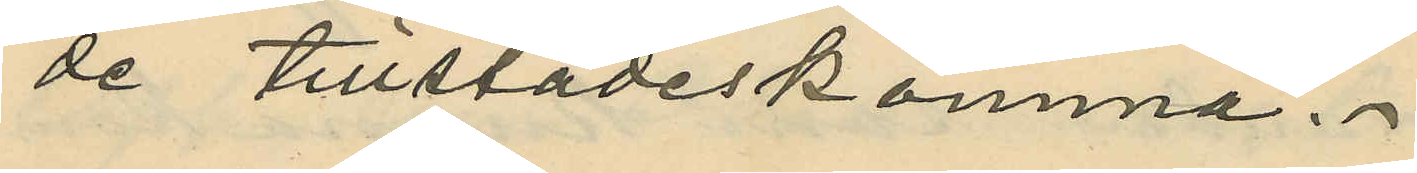de tillstädeskomma.
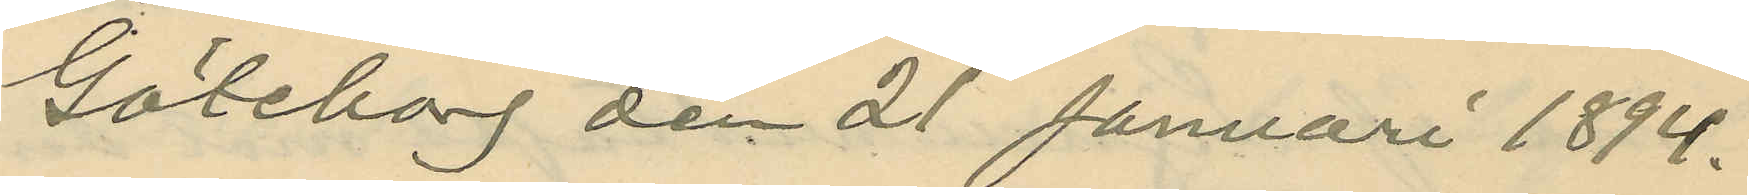Göteborg den 21 Januari 1894.
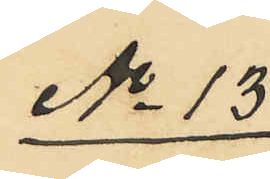No 13
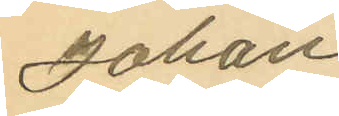Johan
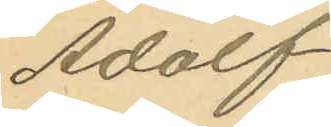Adolf
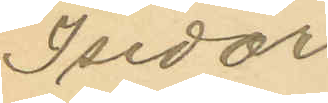Isidor
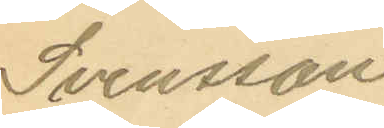Svensson
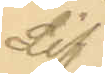Lif
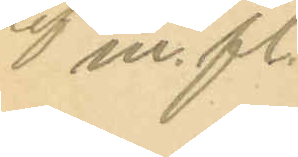 m. fl.
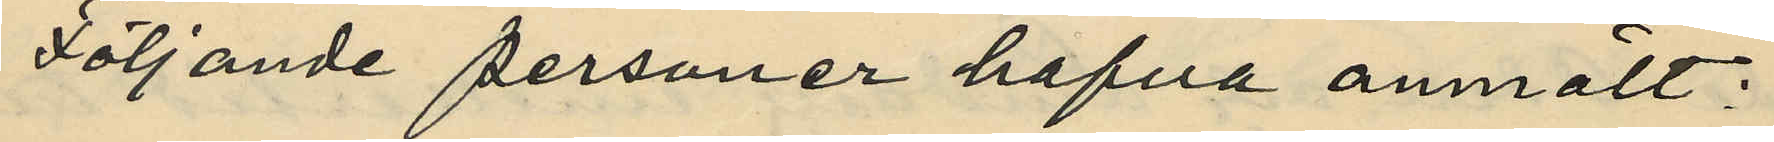Följande personer hafva anmält:
